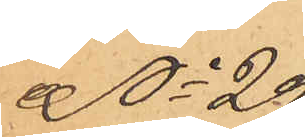No 29
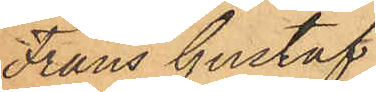Frans Gustaf
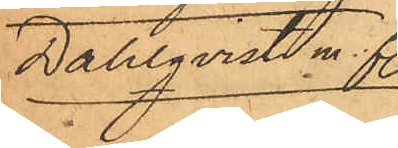Dahlqvist m. fl.
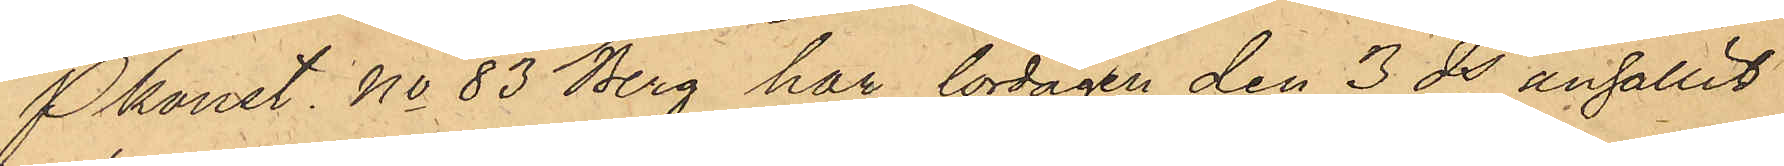Pkonst. No 83 Berg har lördagen den 3 ds anhållit
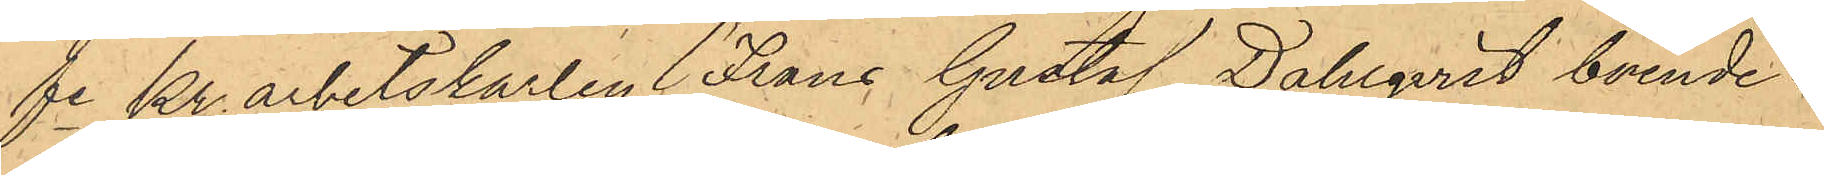fe Kr. arbetskarlen Frans Gustaf Dahlqvist, boende i
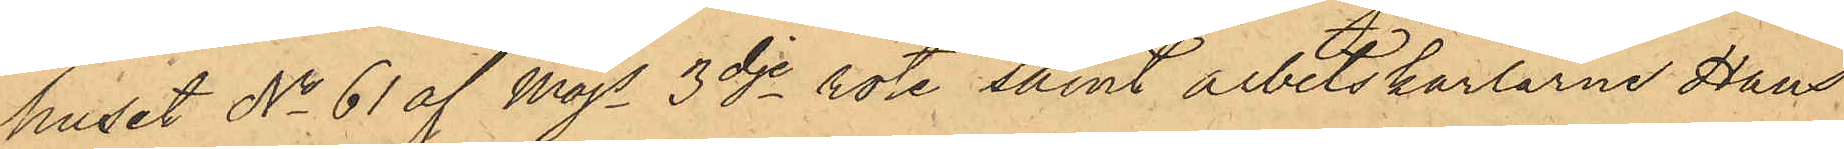huset No 61 af Majs 3dje rote samt arbetskarlarne Hans
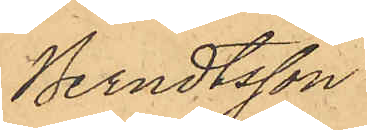Berndtsson
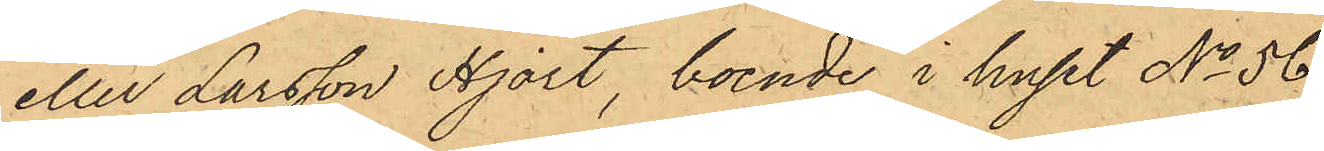eller Larsson Hjort, boende i huset No 56
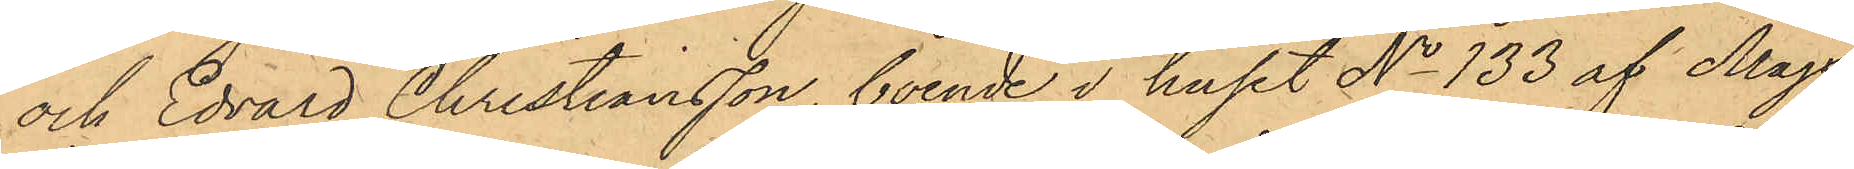och Edvard Christiansson, boende i huset No 133 af Majs
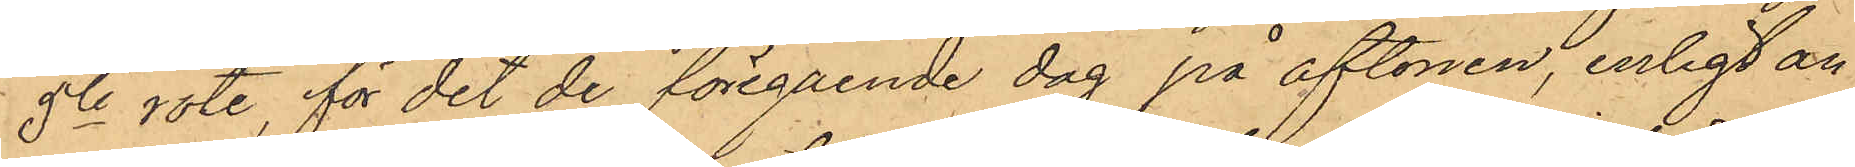5te rote, för det de föregående dag på aftonen, enligt an¬
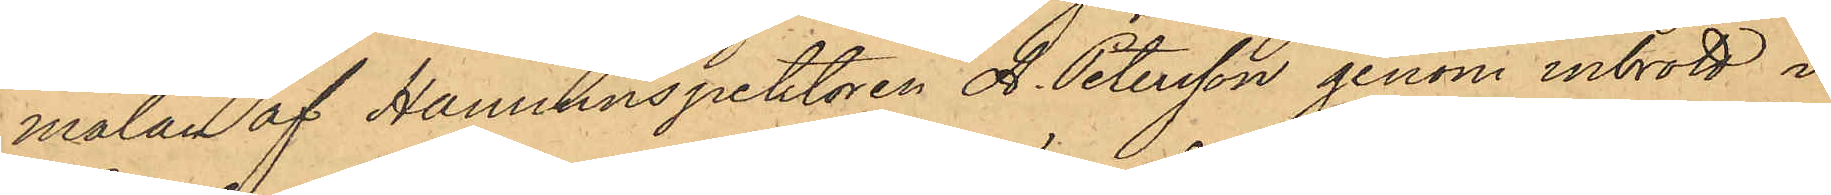mälan af Hamninspektoren A. Petersson genom inbrott i
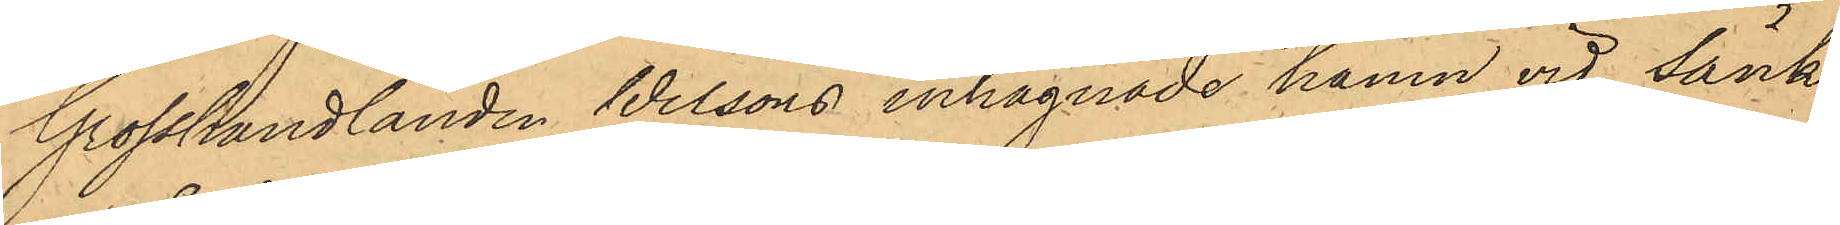Grosshandlanden Wilsons inhägnade hamn vid Sänk¬
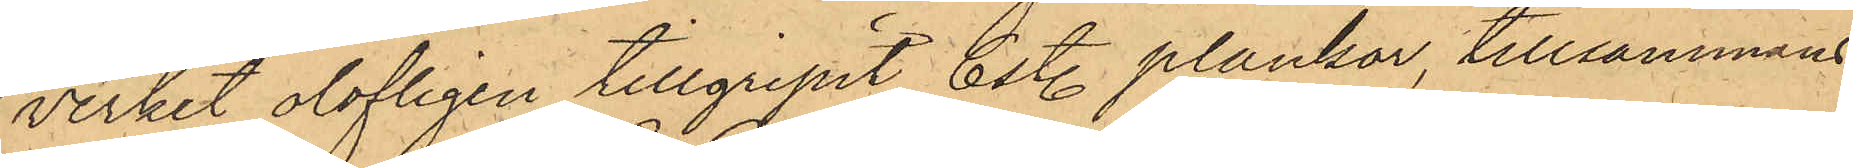verket olofligen tillgripit 6 st. plankor, tillsammans
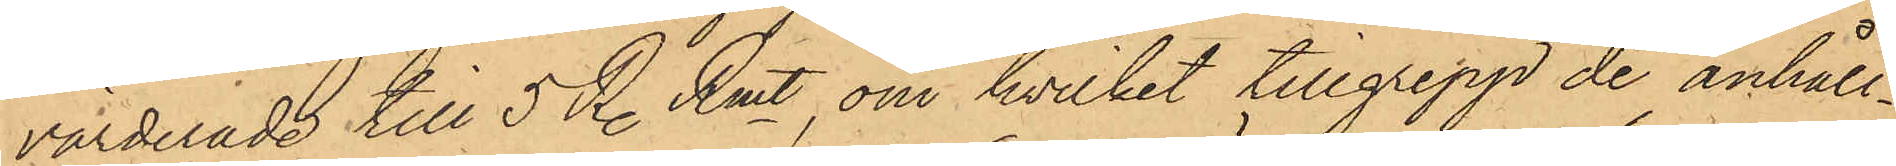värderade till 5 R. Rmt, om hvilket tillgrepp de anhåll¬
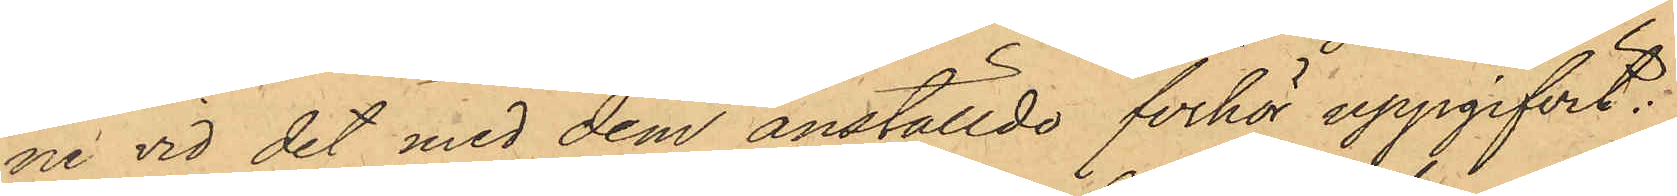ne vid det med dem anställde förhör uppgifvit:
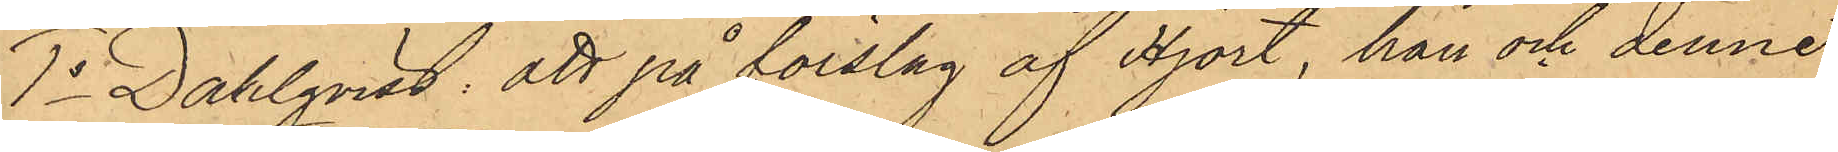1o Dahlqvist: att på förslag af Hjort, han och denne
